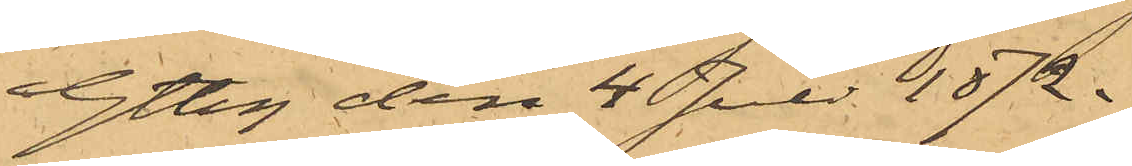Gtbg den 4 Juli 1872.
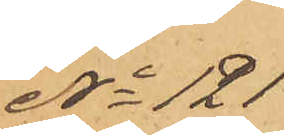No 121
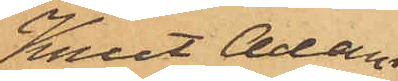Knut Adam
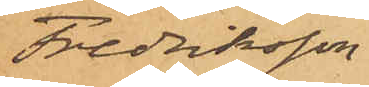Fredriksson
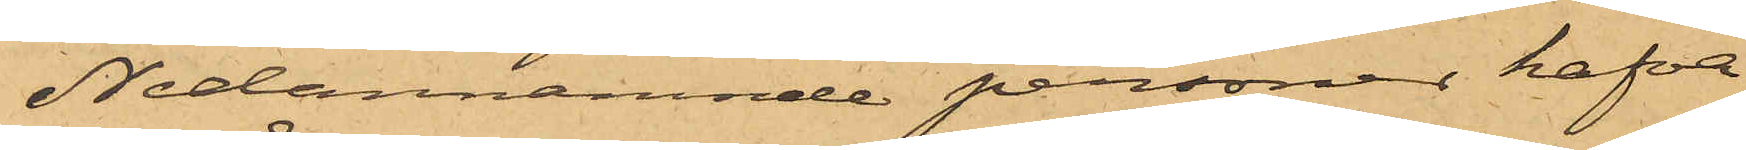Nedannämnde personer hafva
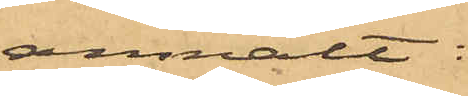anmält:
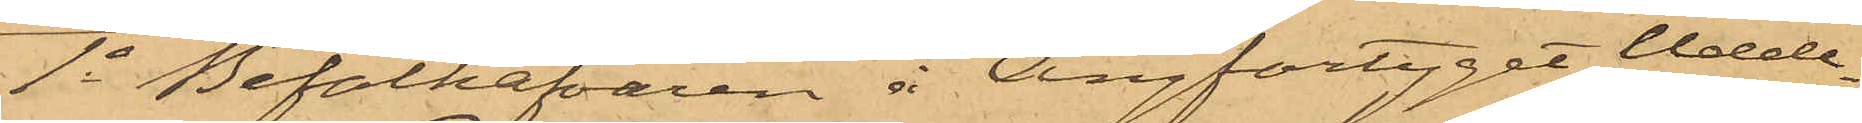1o Befälhafvaren å Ångfartyget Udde¬
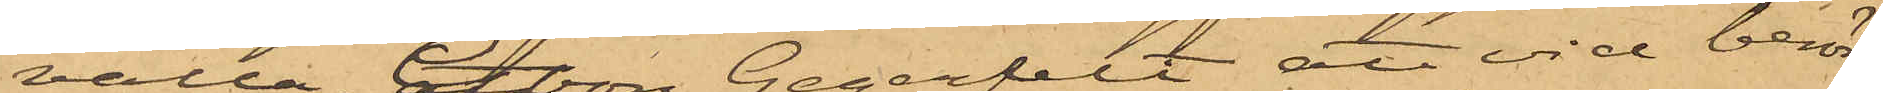valla, C J von Gegerfelt, att vid berör¬
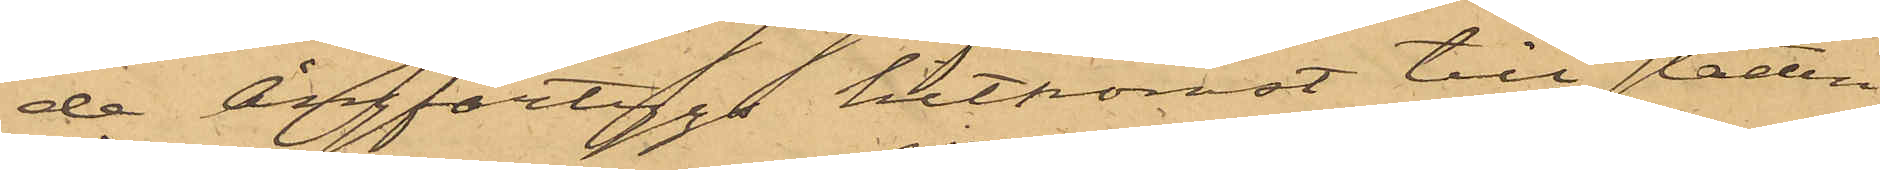de Ångfartygs hitkomst till staden
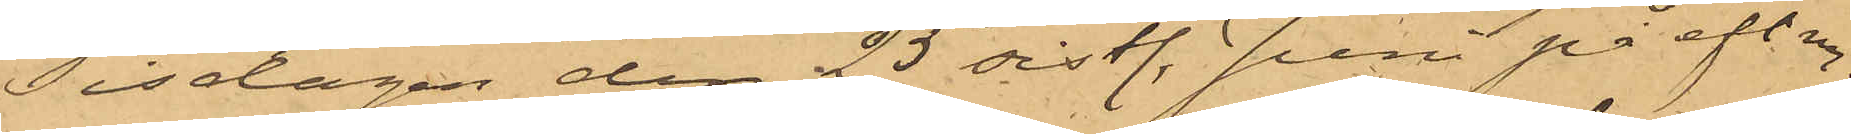Tisdagen den 25 sistl. Juni på eft. m.
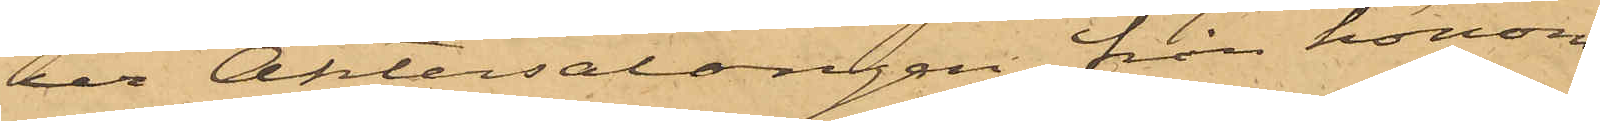ur Aktersalongen från honom
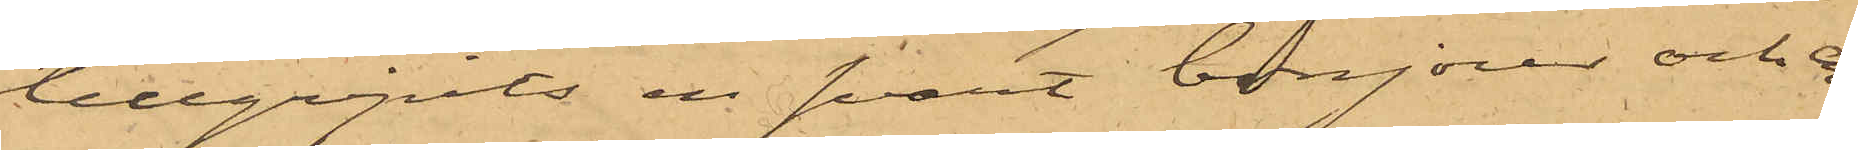tillgripits en svart bonjour och en
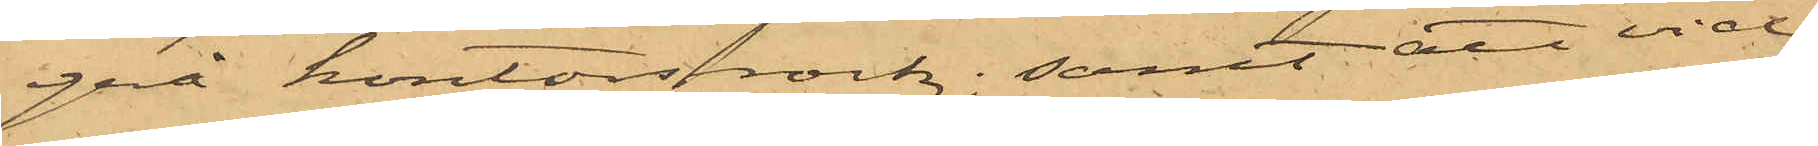grå kontorsrock; samt att vid
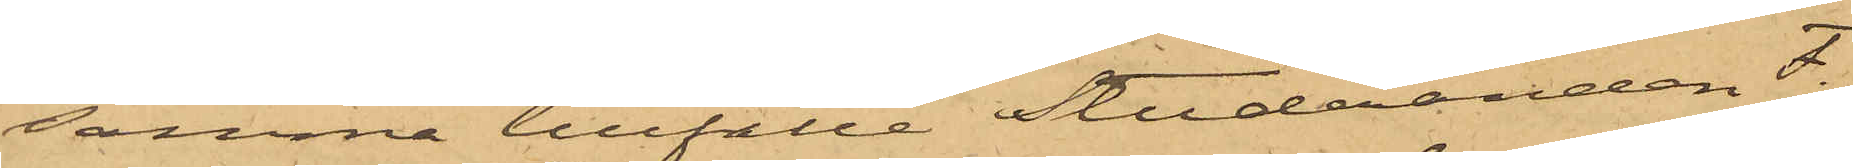samma tillfälle Studeranden F.
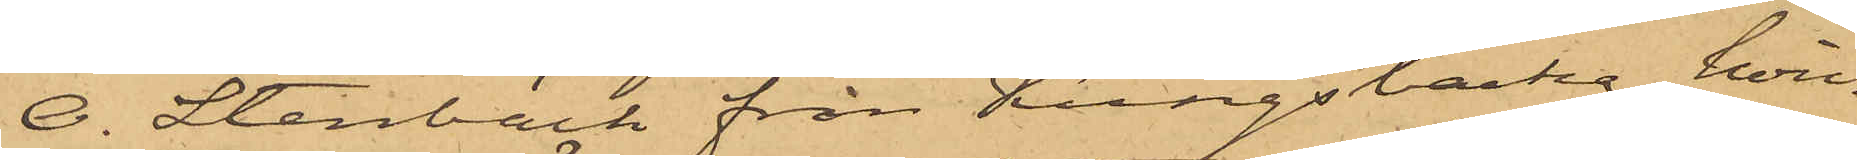O. Stenbäck från Kungsbacka, hvil¬
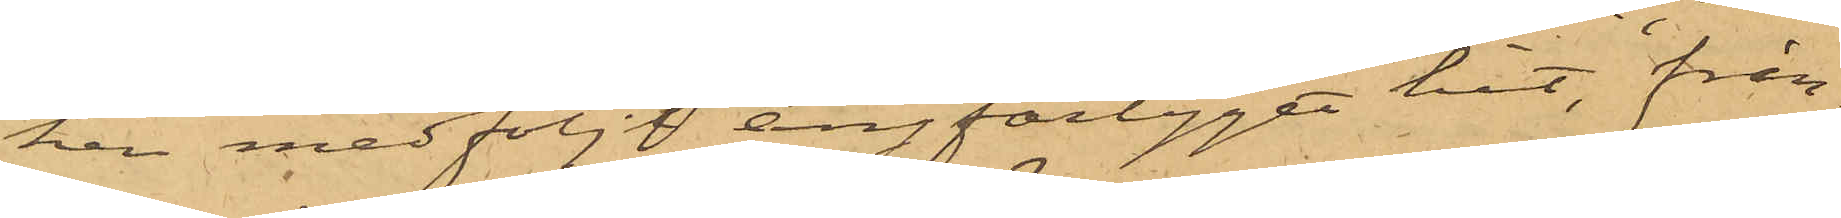ken medföljt ångfartyget hit, från¬
